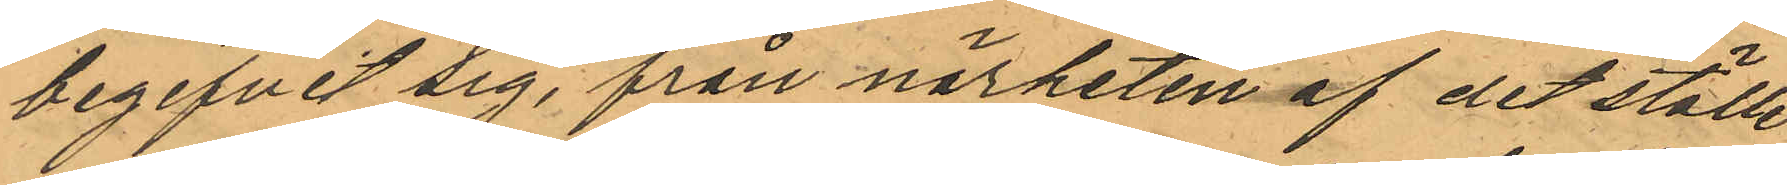begifvit sig, från närheten af det ställe
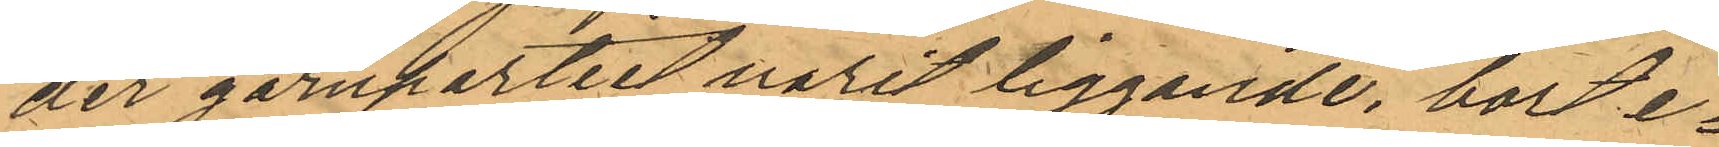der garnpartiet varit liggande, bort e¬
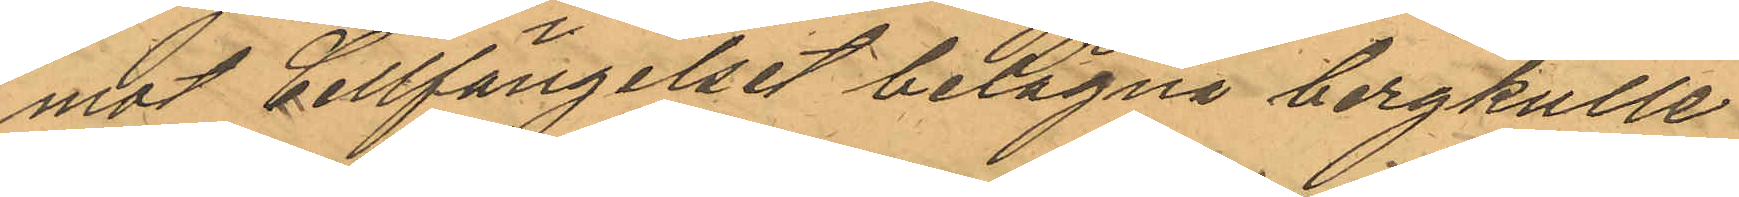mot Cellfängelset belägna bergkulle
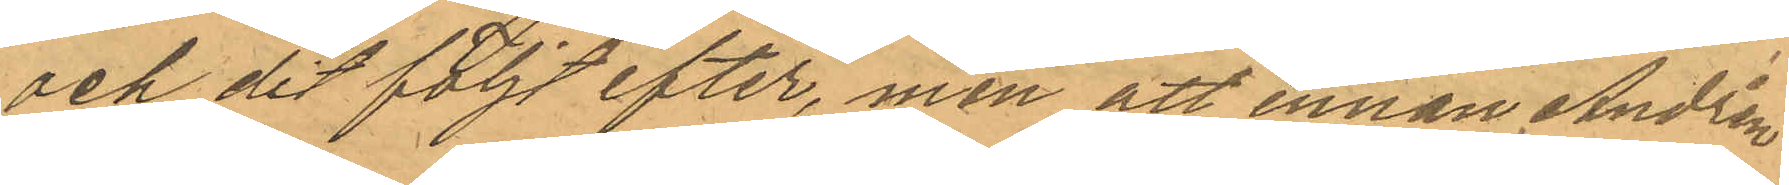och dit följt efter, men att innan Andrén
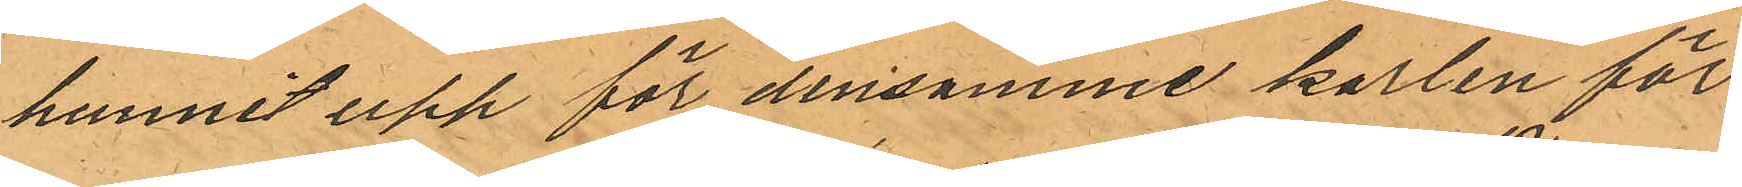hunnit upp för densamme karlen för¬
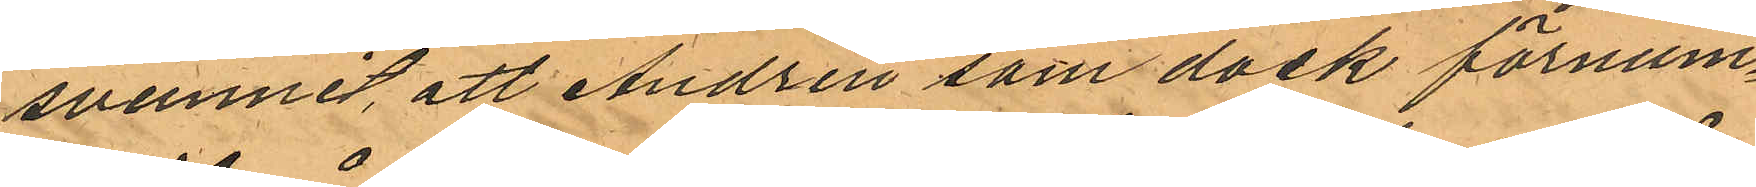svunnit, att Andrén som dock förnum¬
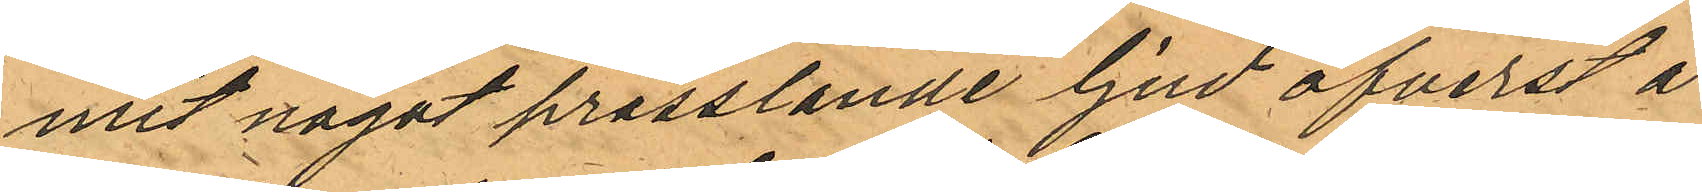mit något prasslande ljud öfverst å
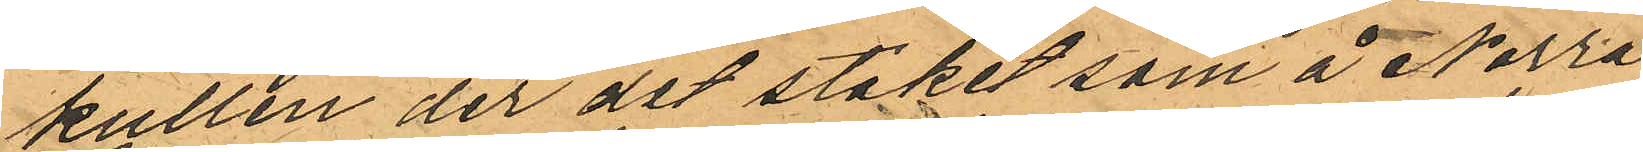kullen der det staket som å Norra
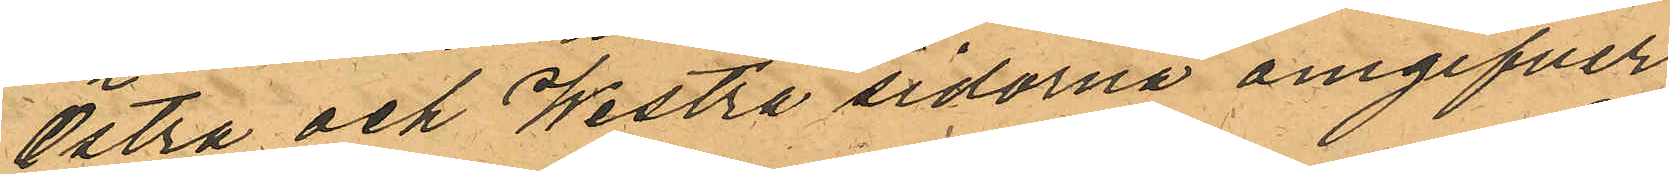Östra och Westra sidorna omgifver
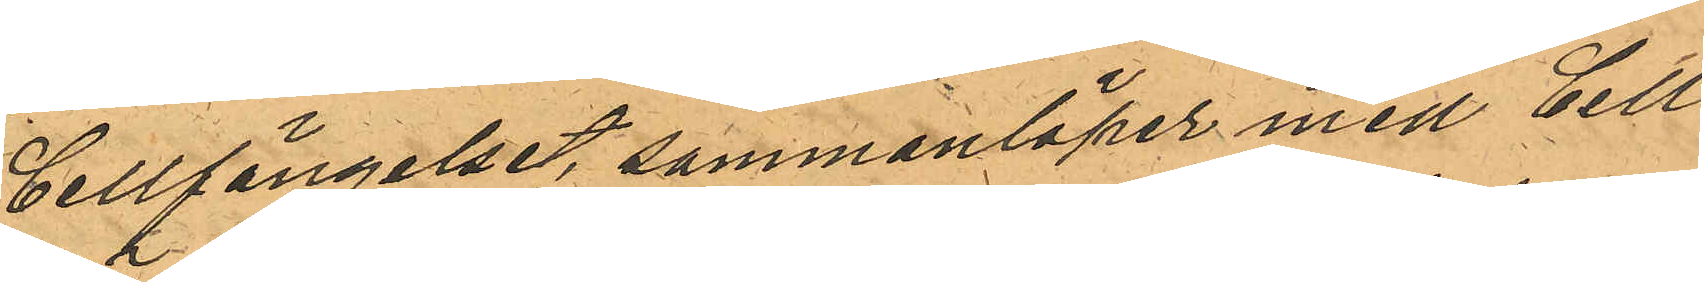Cellfängelset, sammanlöper med Cell¬
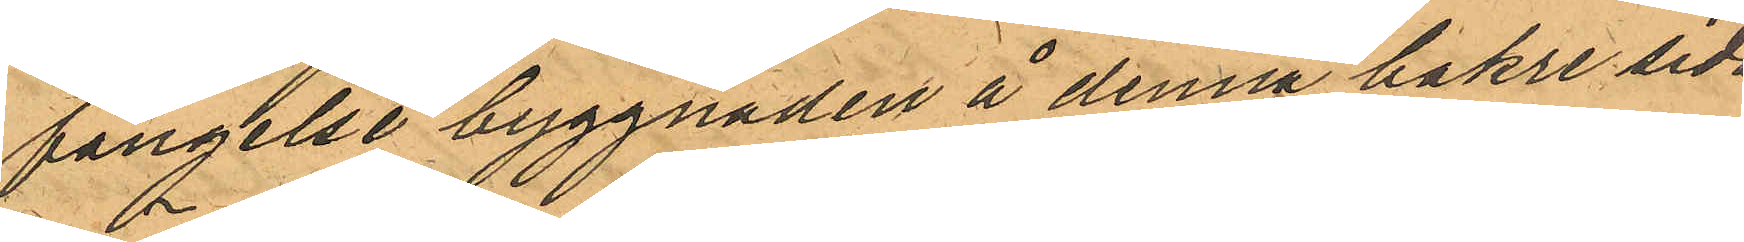fängelse byggnaden å denna bakre sida
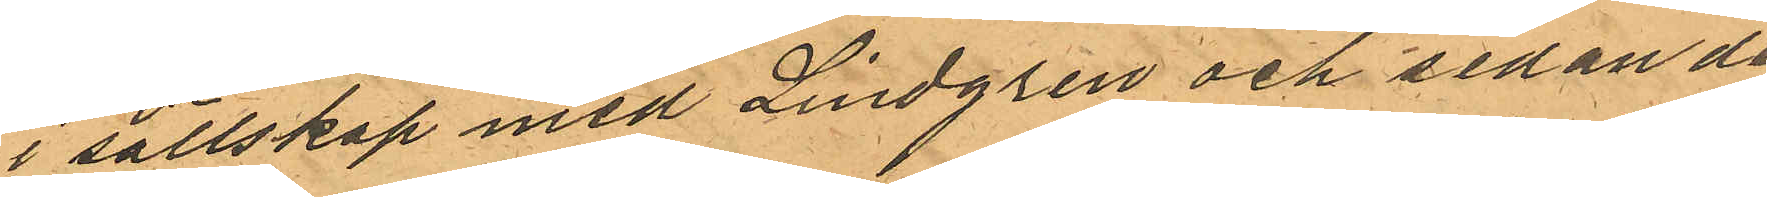i sällskap med Lindgren och sedan de
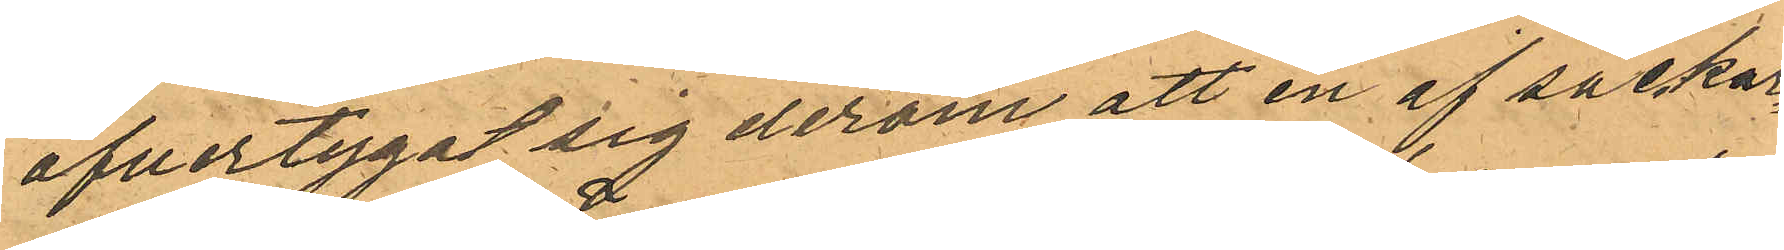öfvertygat sig derom att en af säckar¬
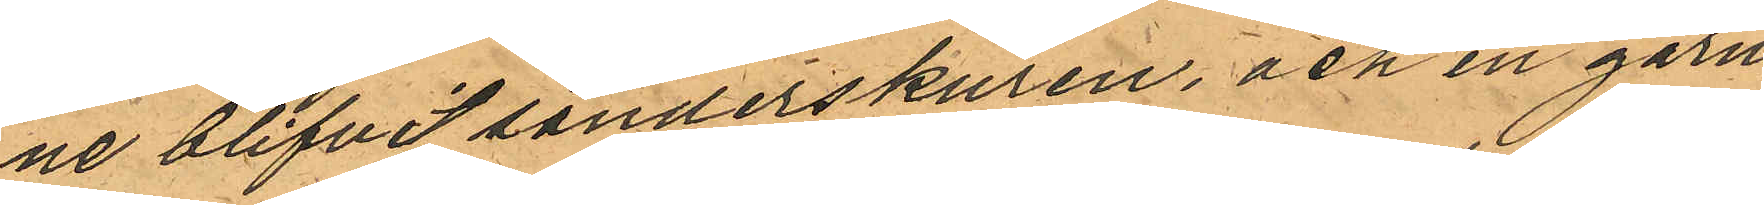ne blifvit sönderskuren, och en garn¬
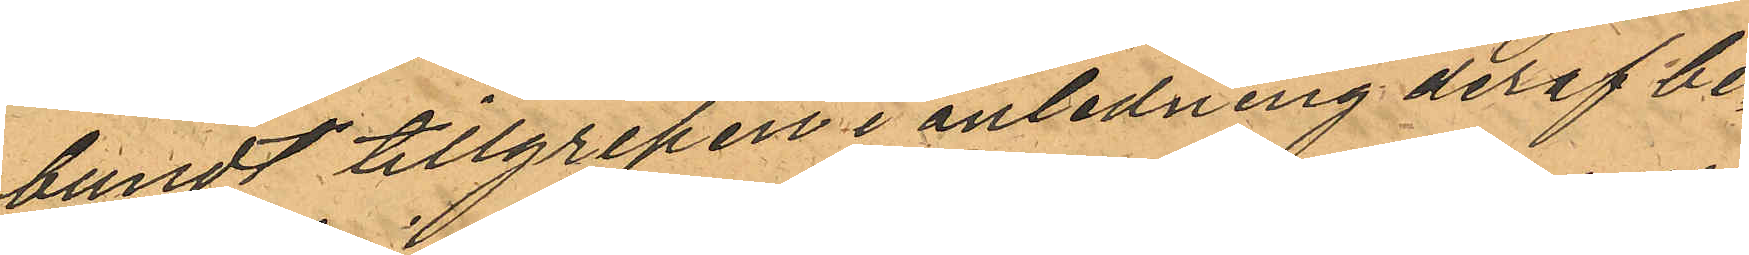bundt tillgripen i anledning deraf be¬
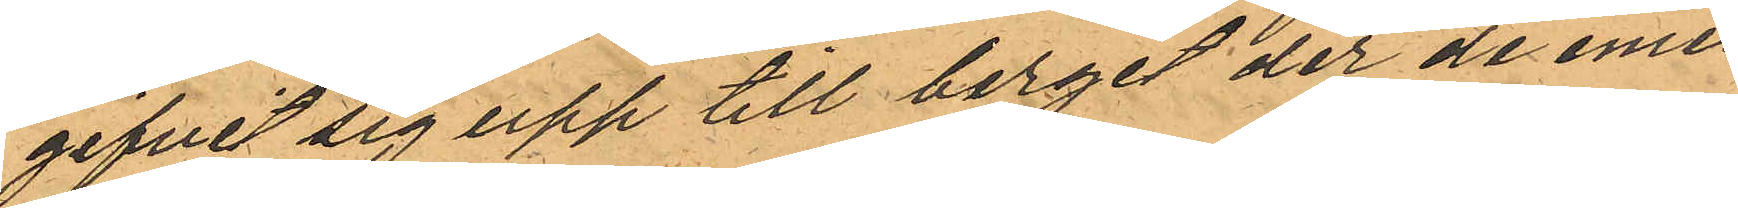gifvit sig upp till berget der de emel¬
